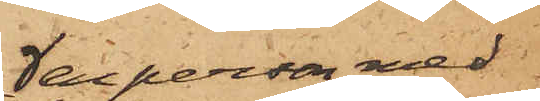en person med
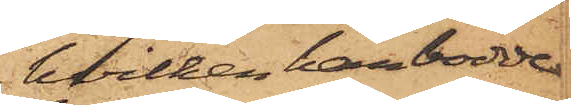hvilken han bodde
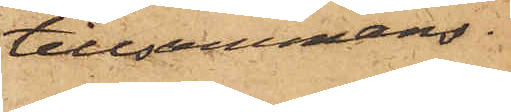tillsammans
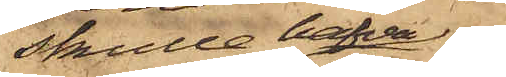skulle hafva
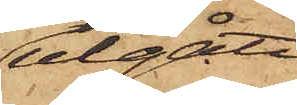utgått
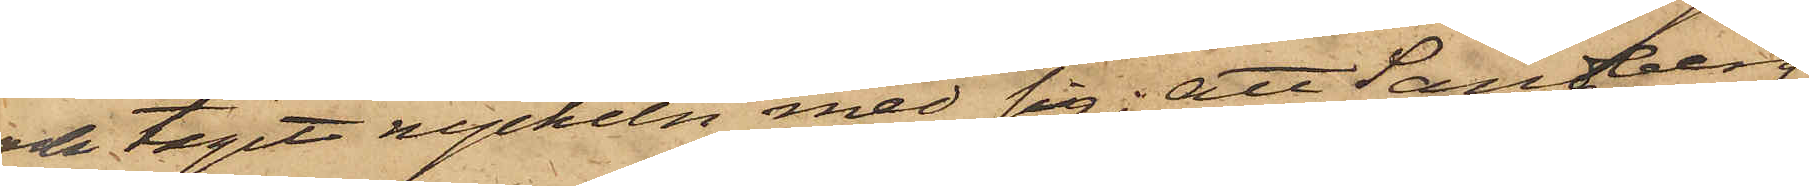och tagit nyckeln med sig; att Sandberg
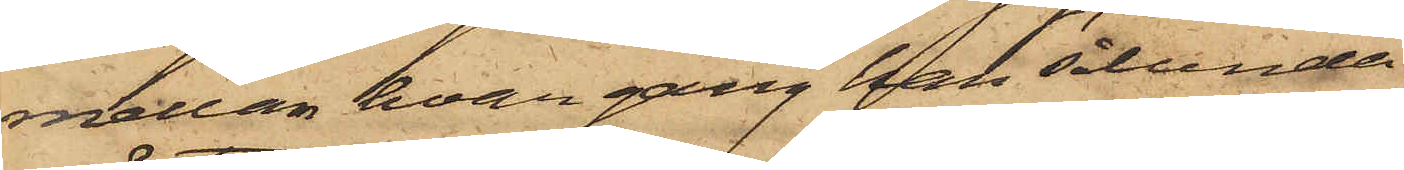mellan hvar gång han sålunda
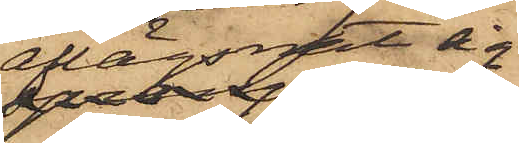aflägsnat sig
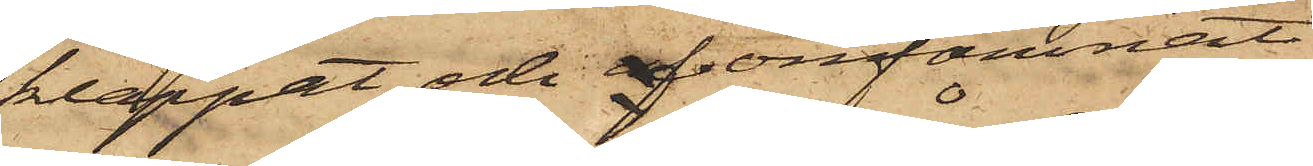klappat och af omfamnat
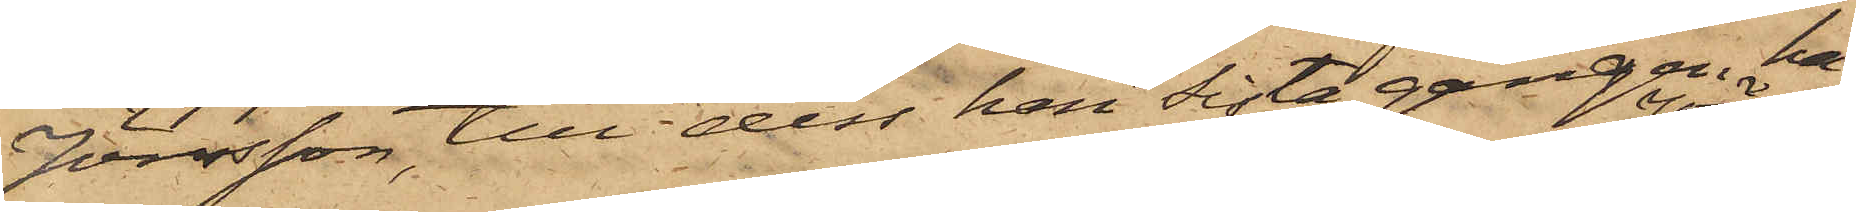Jönsson, till dess han sista gången ha¬
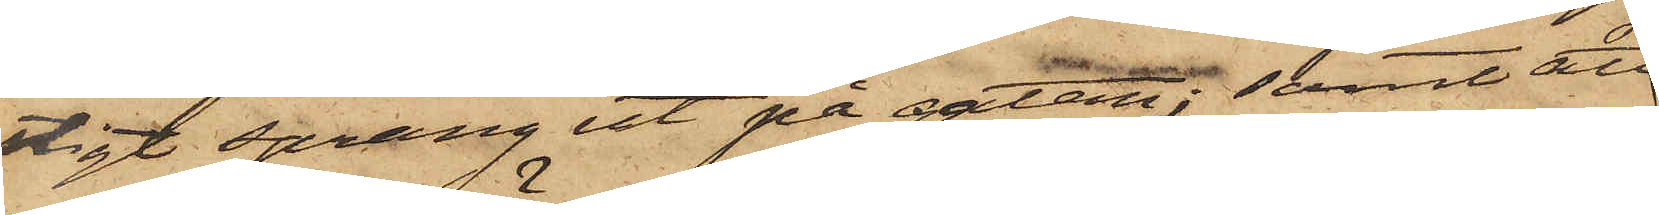stigt sprang ut på gatan; samt att
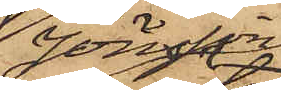Jönsson
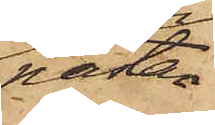nästan
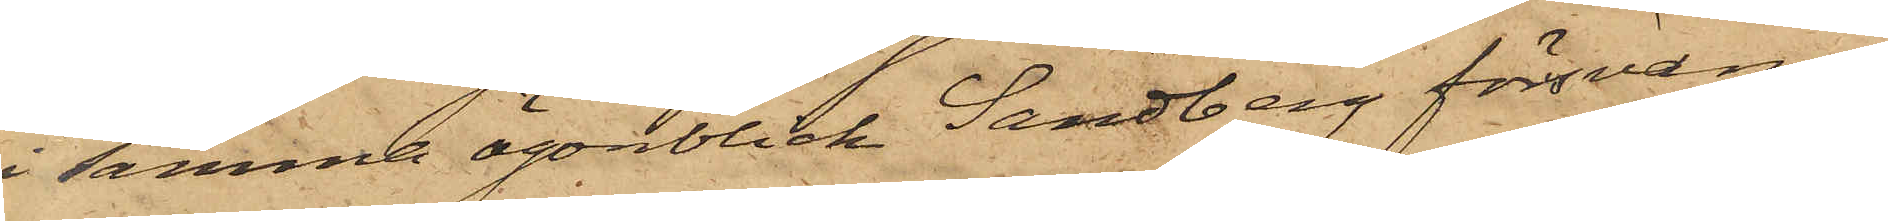i samma ögonblick Sandberg försvann,
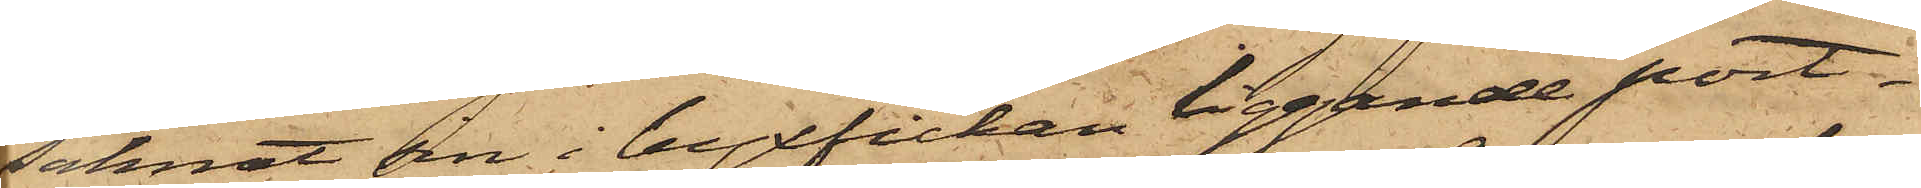saknat en i byxfickan liggande port¬
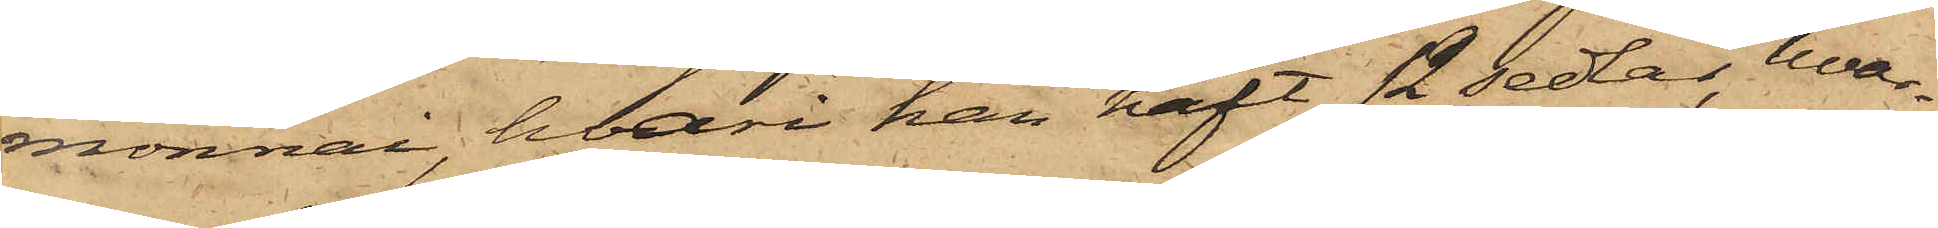monnai, hvari han haft 12 sedlar, hvar¬
